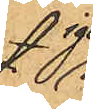igen¬
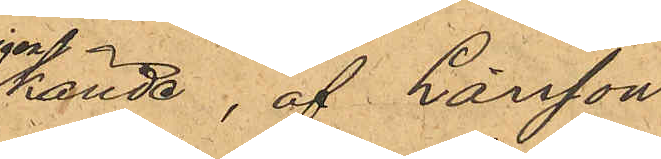kände, af Larsson
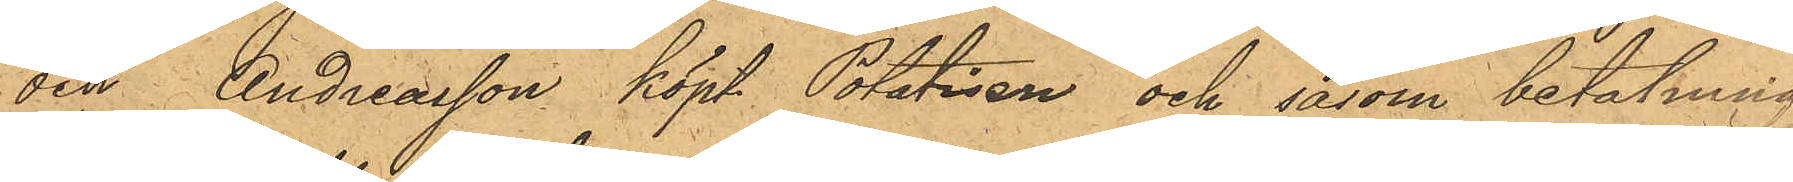och Andreasson köpt Potatisen och såsom betalning
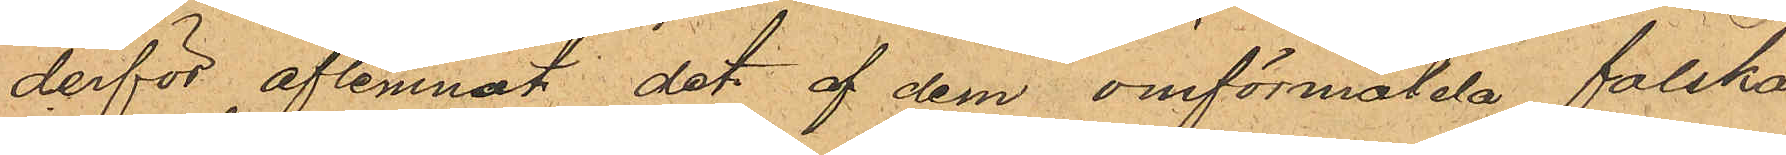derför aflemnat det af dem omförmälda falska
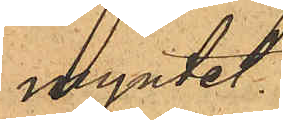myntet.
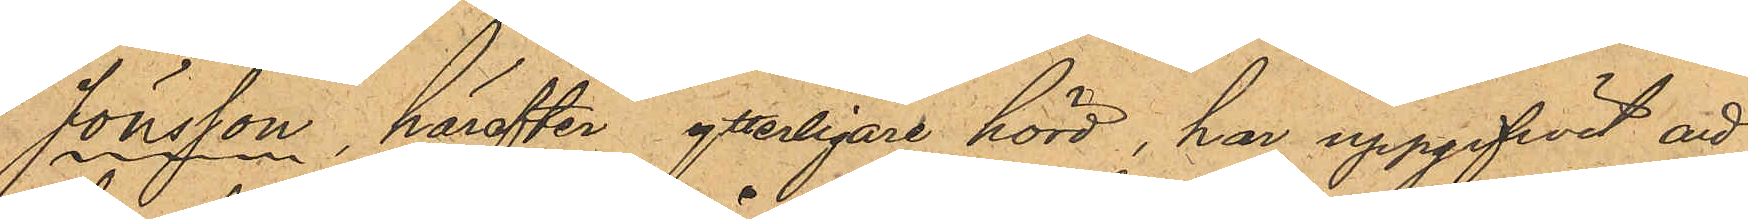Jönsson, härefter ytterligare hörd, har uppgifwit att
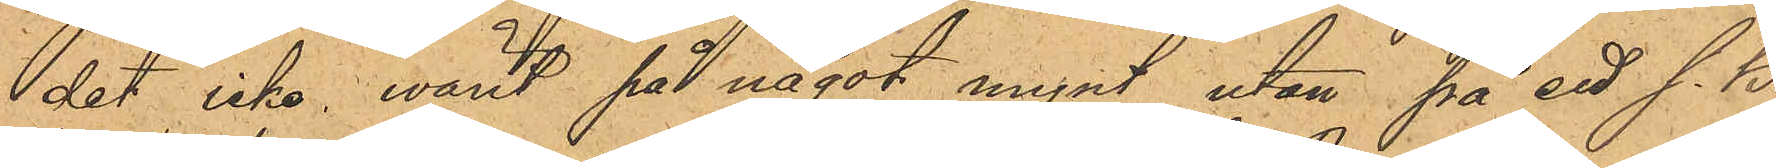det icke warit på något mynt utan på ett s. k.
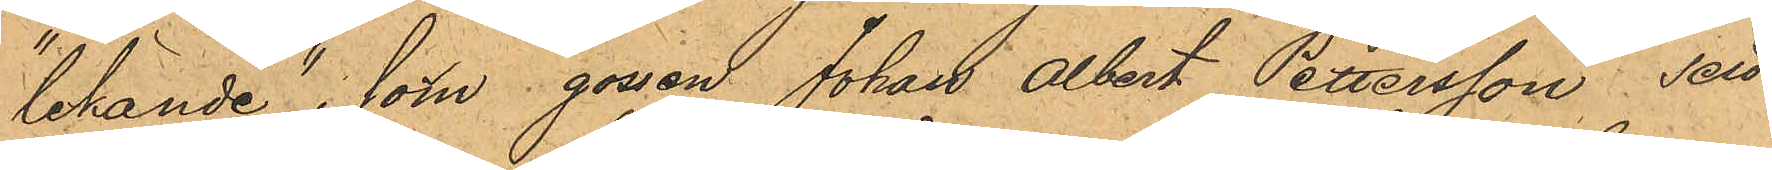"lekande" som gossen Johan Albert Petersson sett
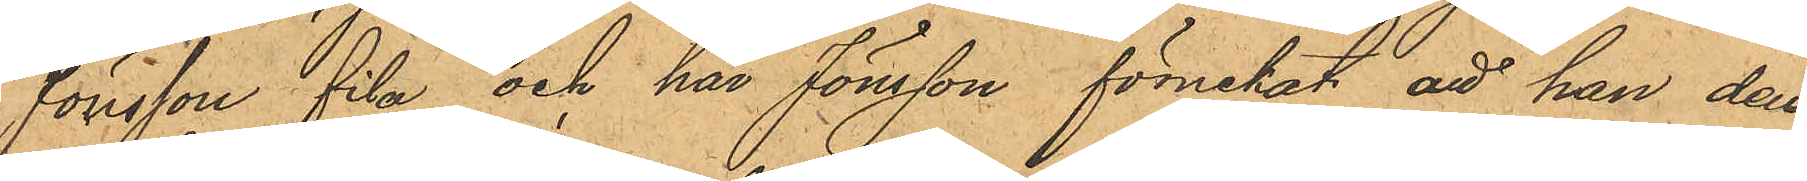Jönsson fila och har Jönsson förnekat att han den
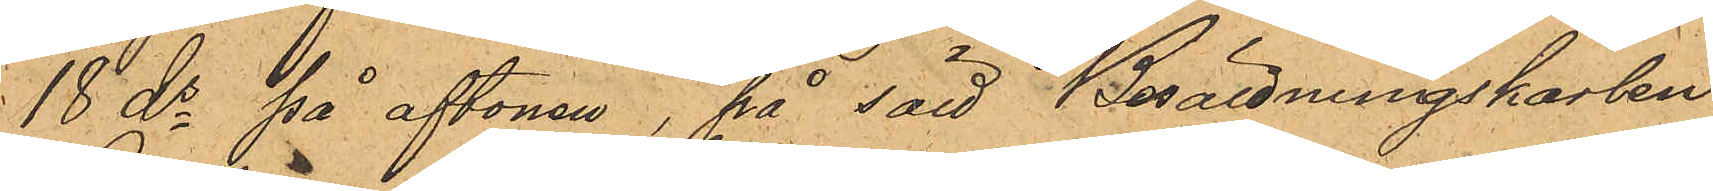18 ds på aftonen, på sätt Besättningskarlen
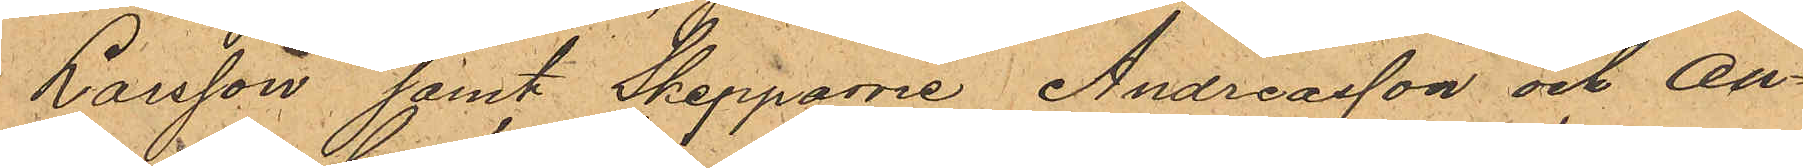Larsson samt Skepparne Andreasson och An¬
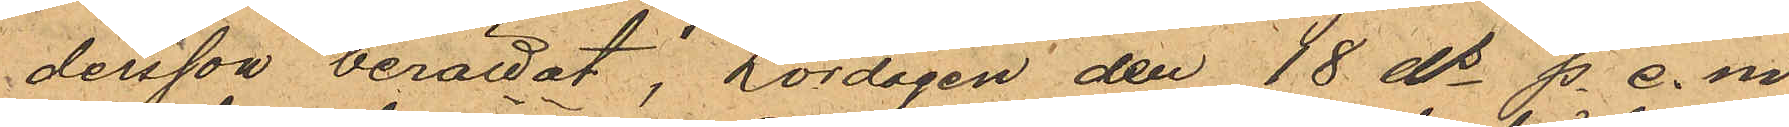dersson berättat, Lördagen den 18 ds p. e. m.
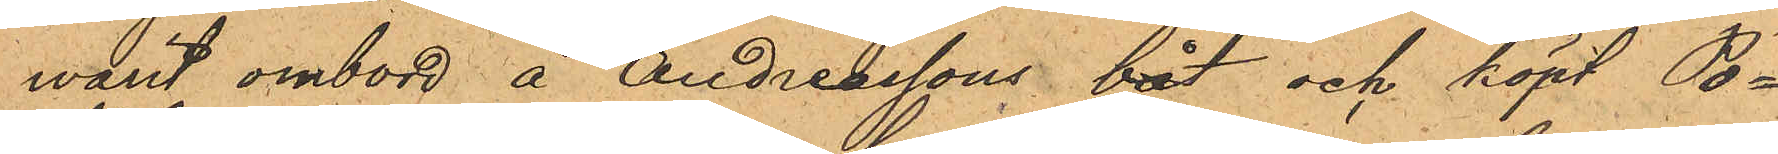warit ombord å Andreassons båt och köpt Po¬
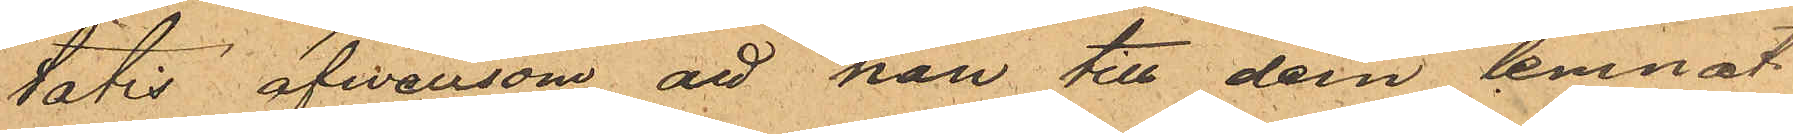tatis, äfvensom att han till dem lemnat
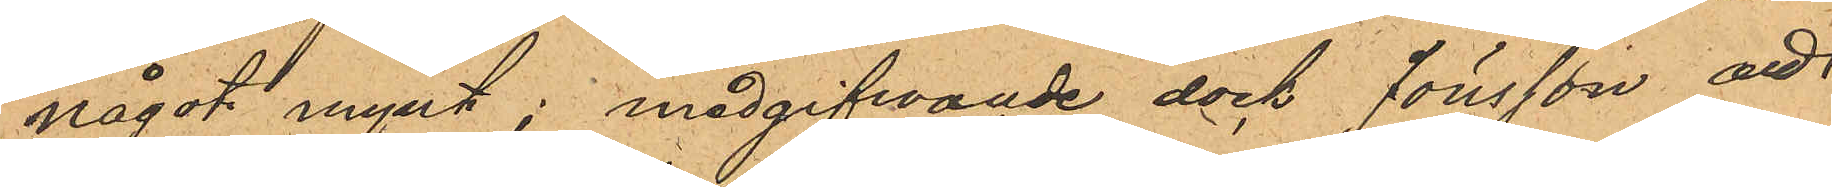något mynt; medgifwande dock Jönsson att
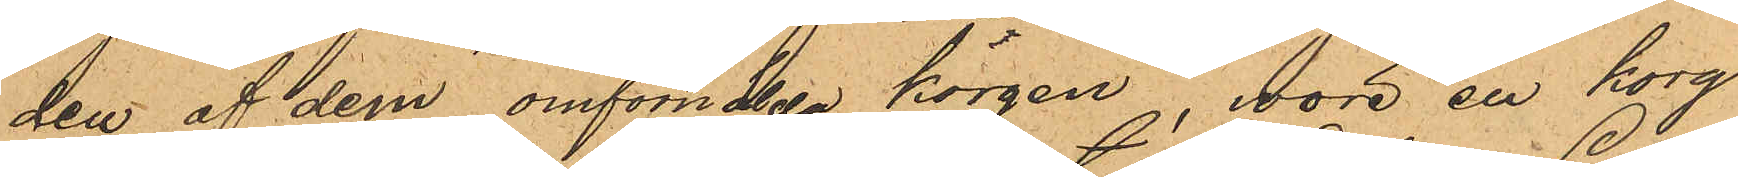den af dem omförmälda korgen, wore en korg
